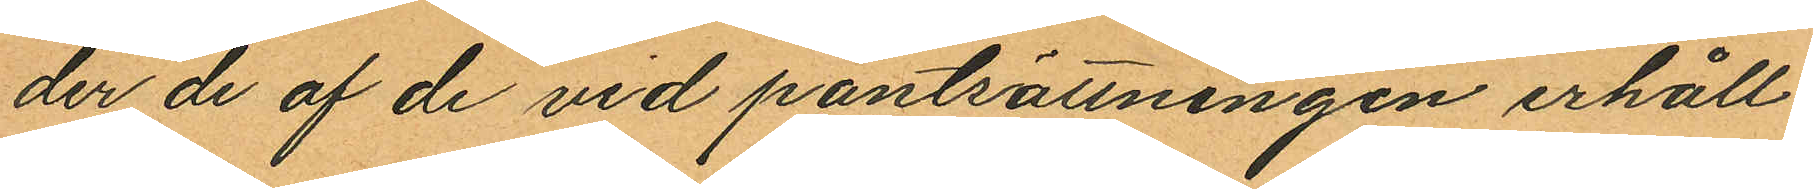der de af de vid pantsättningen erhåll¬
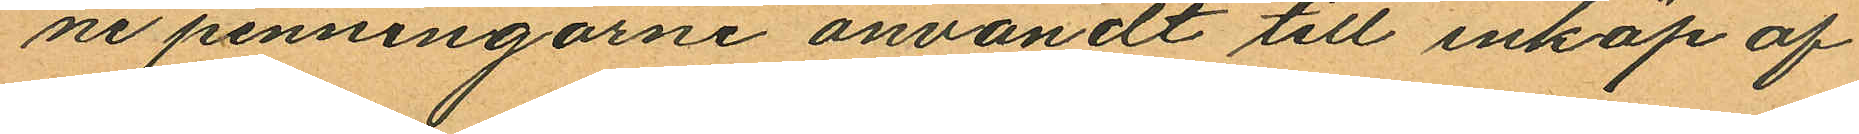ne penningarne användt till inköp af
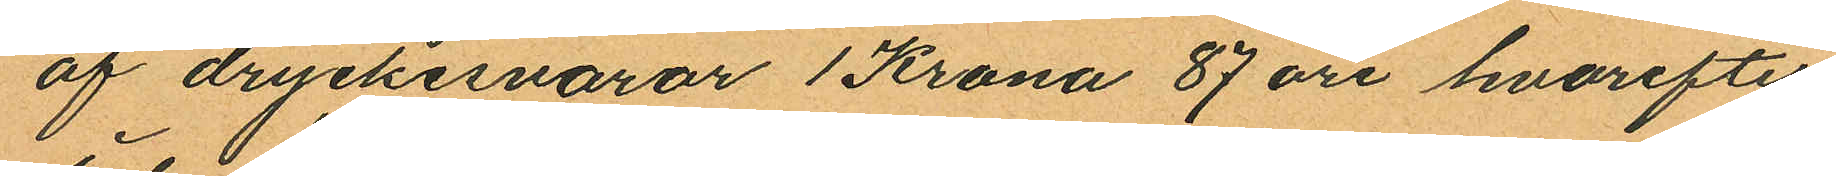af dryckesvaror 1 Krona 87 öre, hvarefter
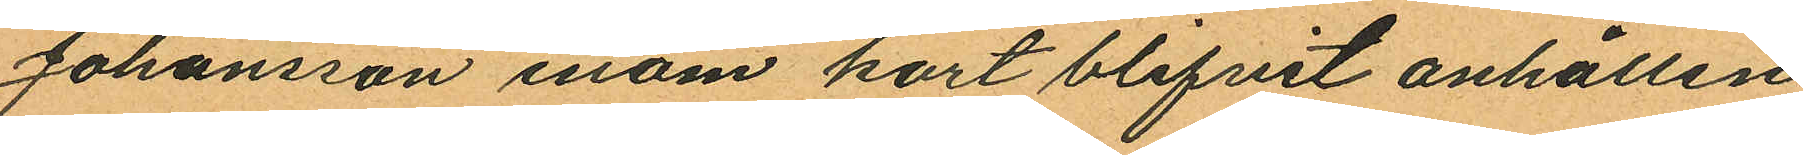Johansson inom kort blifvit anhållen;
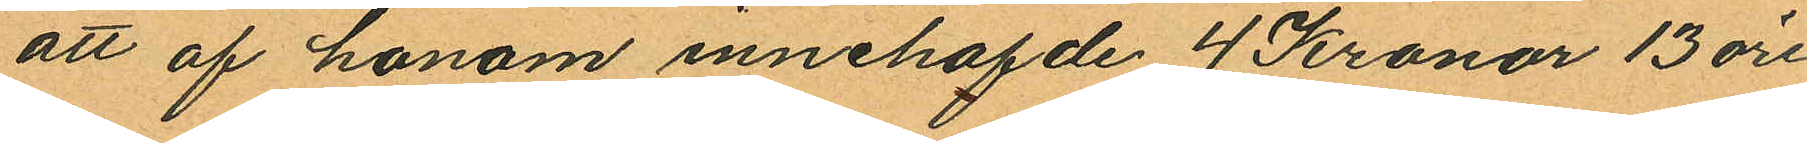att af honom innehafde 4 Kronor 13 öre
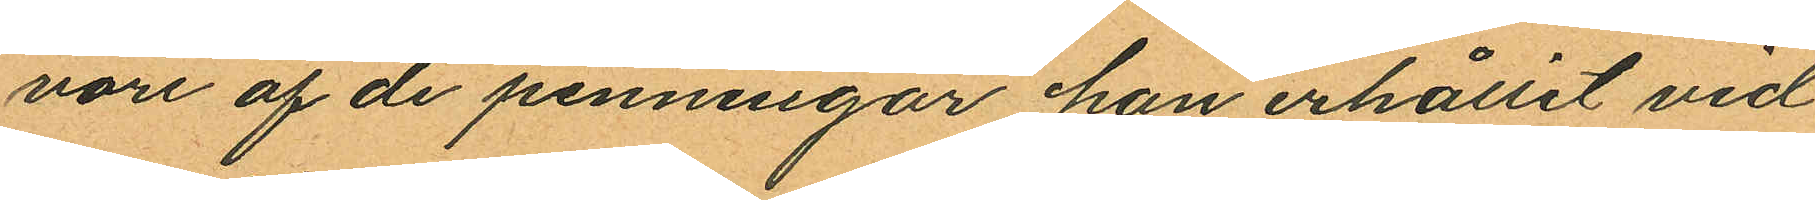vore af de penningar han erhållit vid
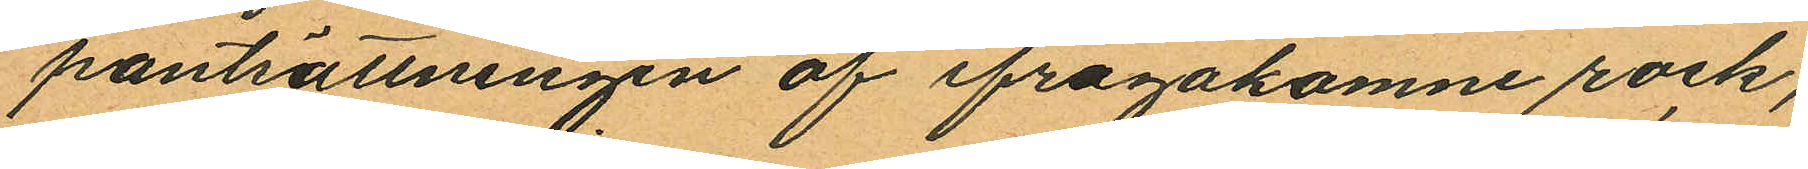pantsättningen af ifrågakomne rock;
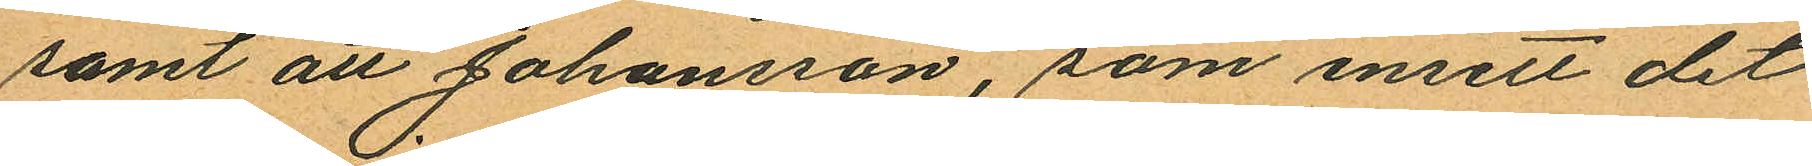samt att Johansson, som insett det
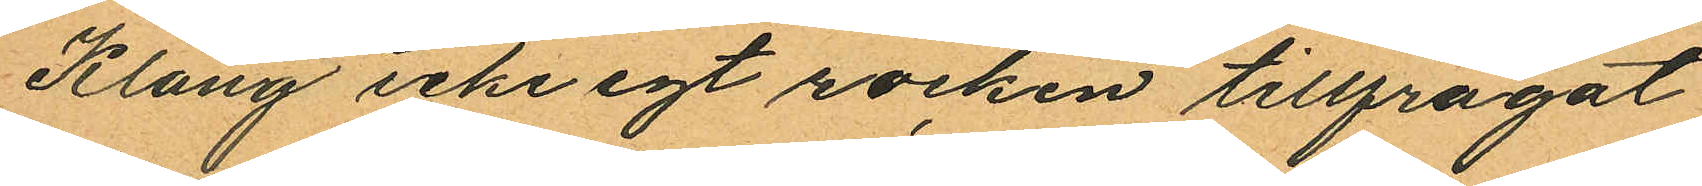Klang icke egt rocken tillfrågat
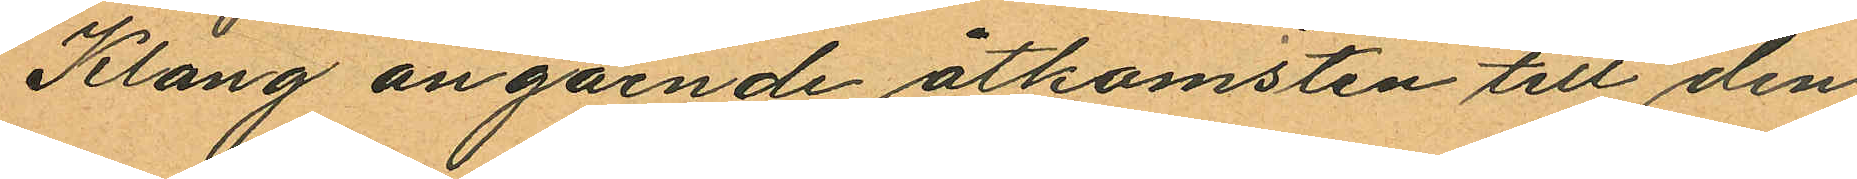Klang angående åtkomsten till den
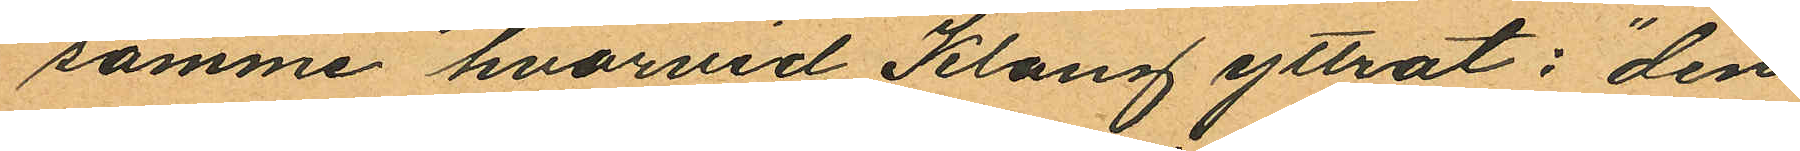samme hvarvid Klang yttrat: "den
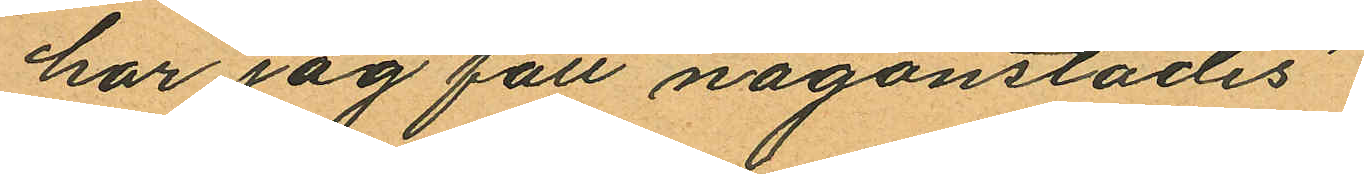har jag fått någonstädes".
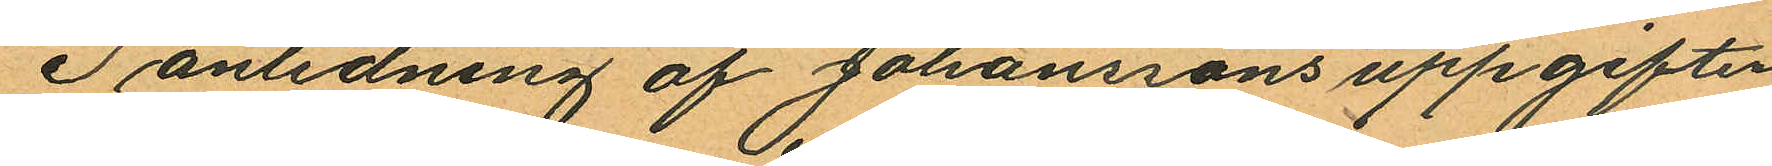I anledning af Johanssons uppgifter
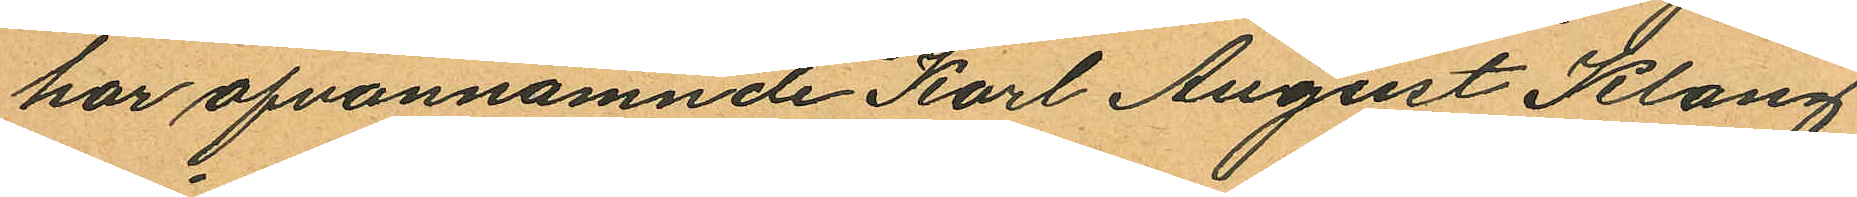har ofvannämnde Karl August Klang
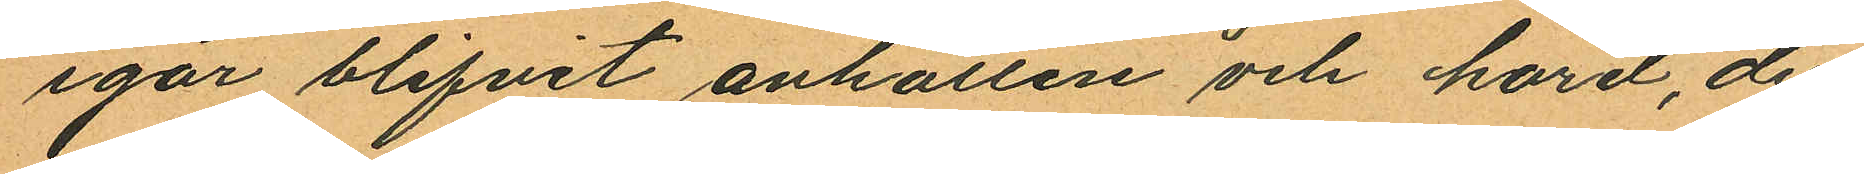igår blifvit anhållen och hörd, der¬
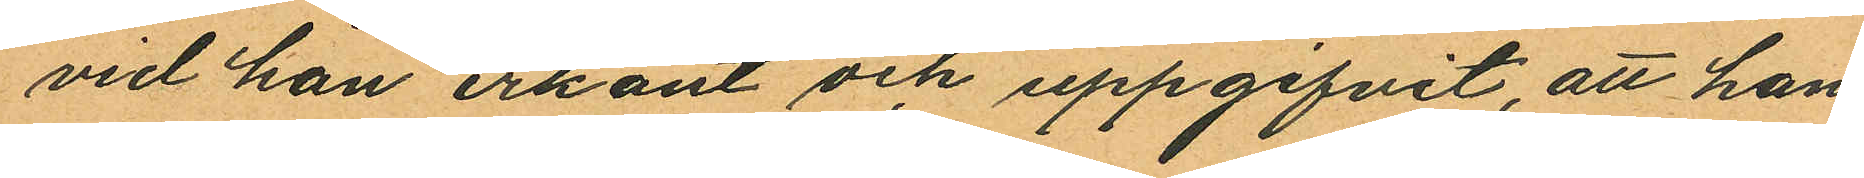vid han erkänt och uppgifvit, att han
